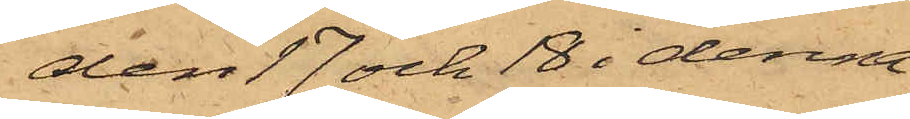den 17 och 18 i denna
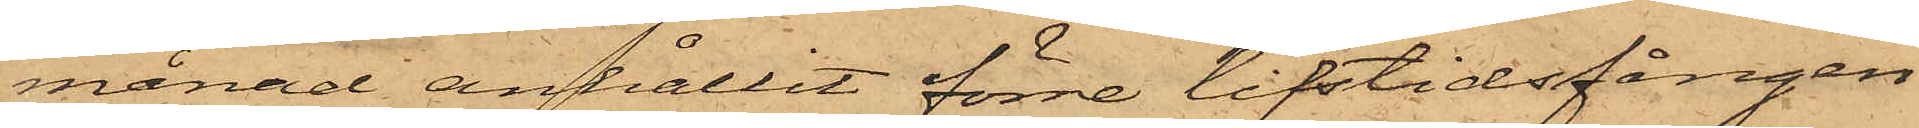månad anhållit förre lifstidsfången
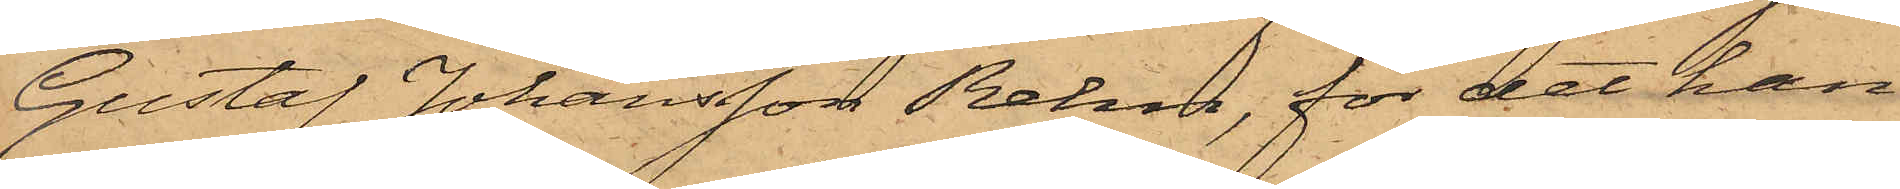Gustaf Johansson Rehn, för det han
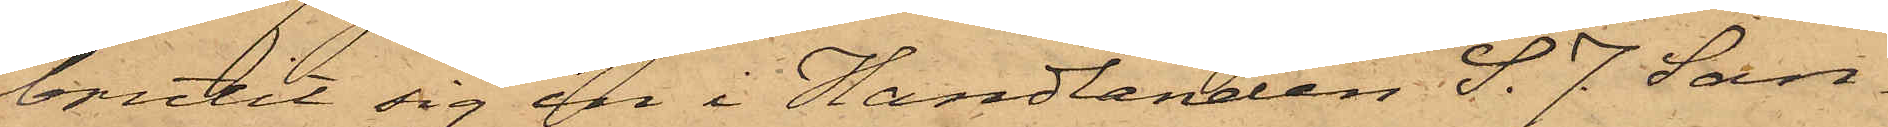brutit sig in i Handlanden S. J. San¬
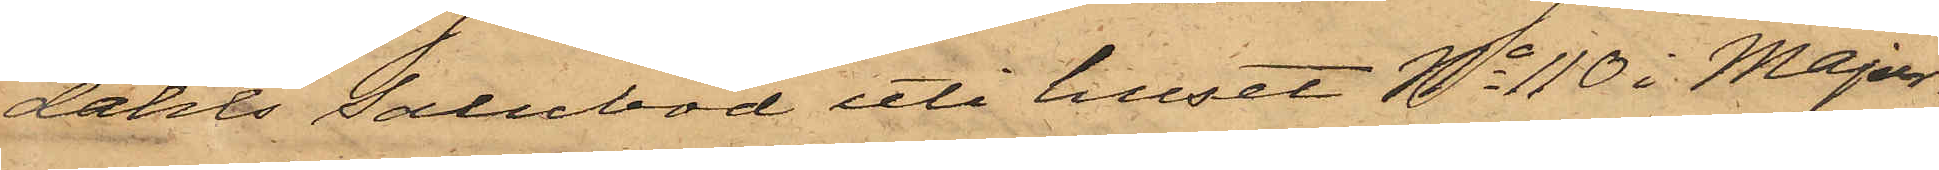dahls Salubod uti huset No 110 i Major¬
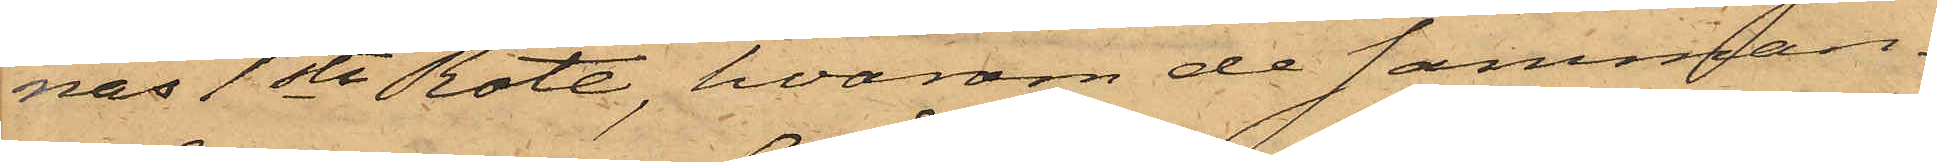nas 1sta Rote, hvarom de samman¬
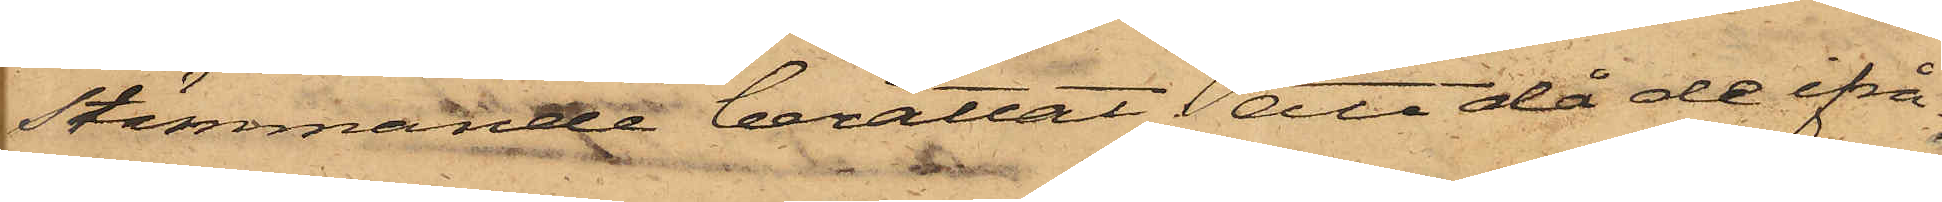stämmande berättat; att då de ifrå¬
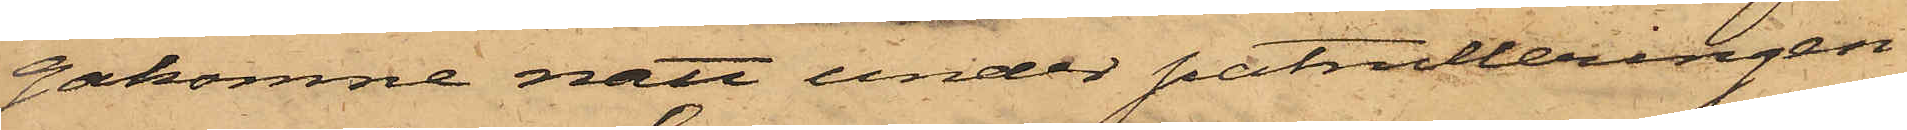gakomne natt under patrulleringen
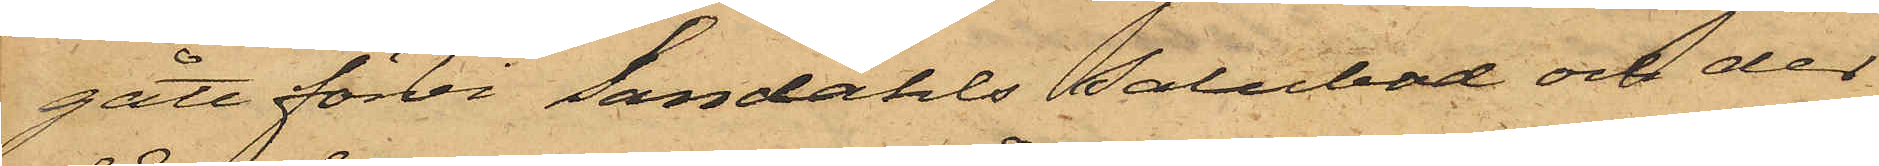gått förbi Sandahls Salubod och der
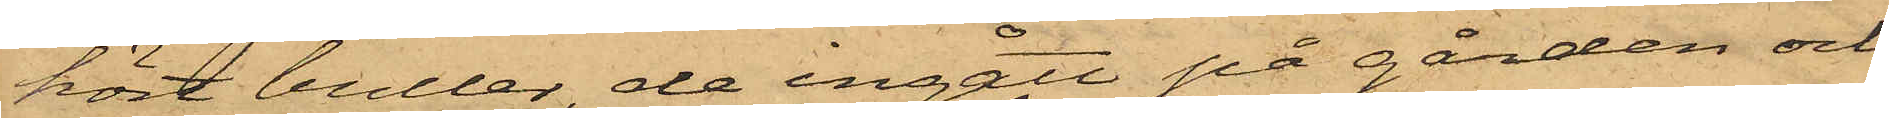hört buller, de ingått på gården och
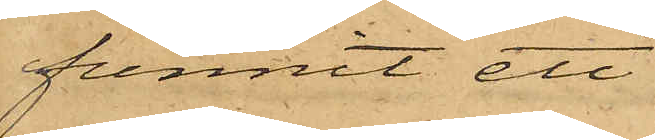funnit ett
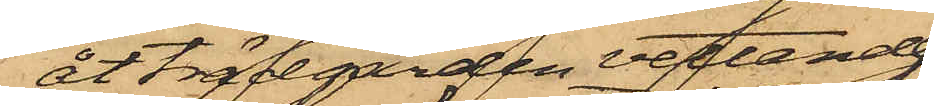åt trädgården vettande
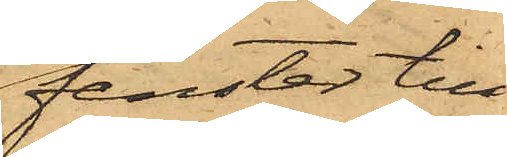fenster till
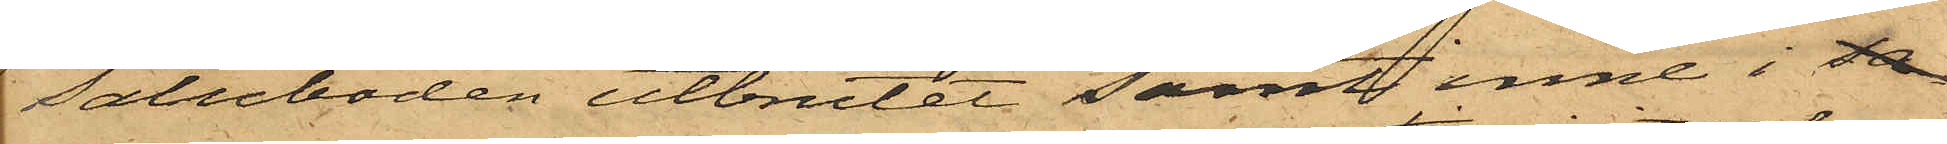saluboden utbrutet samt inne i sa
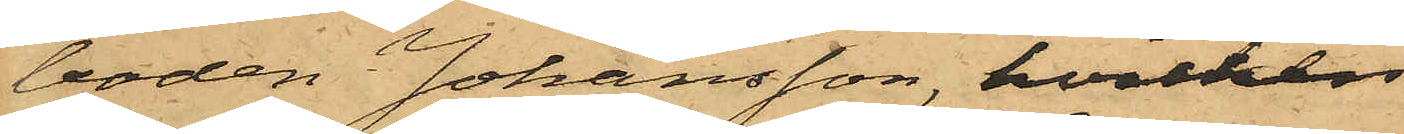boden Johansson, hvilken
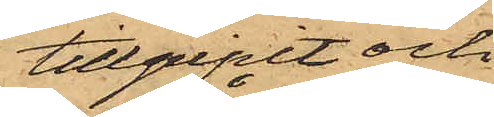tillgripit och
